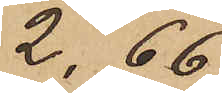2,66.
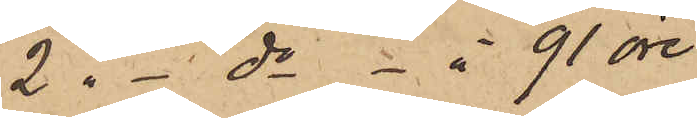2 " - do - à 91 öre
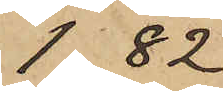1,82
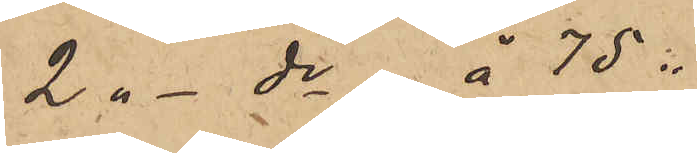2 " - do à 75 "
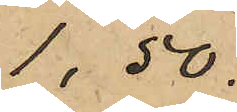1,50.
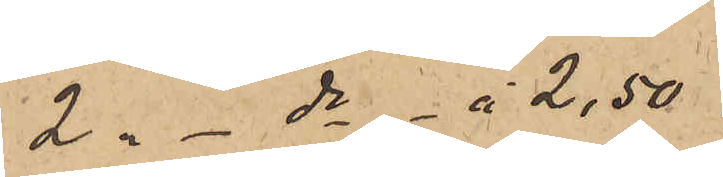2 " - do - à 2,50
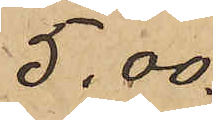5,00.
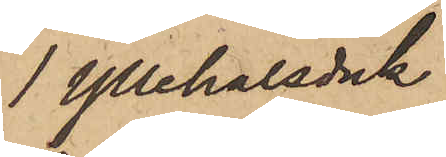1 Yllehalsduk
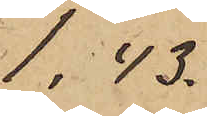1,43.
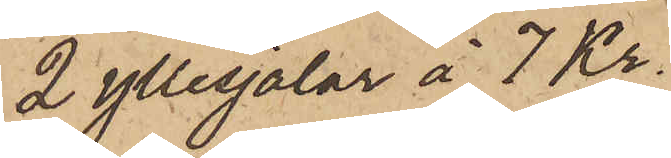2 yllesjalar à 7 Kr
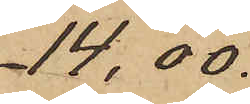14,00.
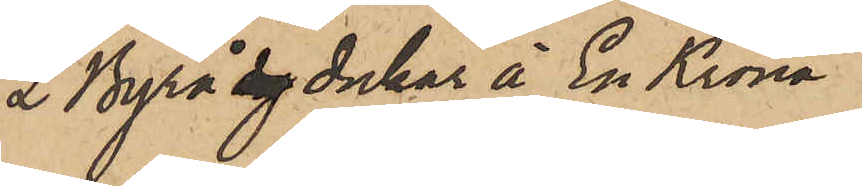2 Byrå dy dukar à En Krona
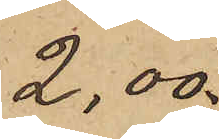2,00.
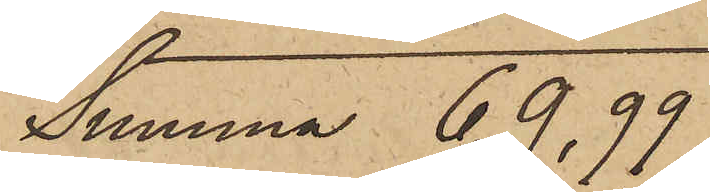Summa 69,99
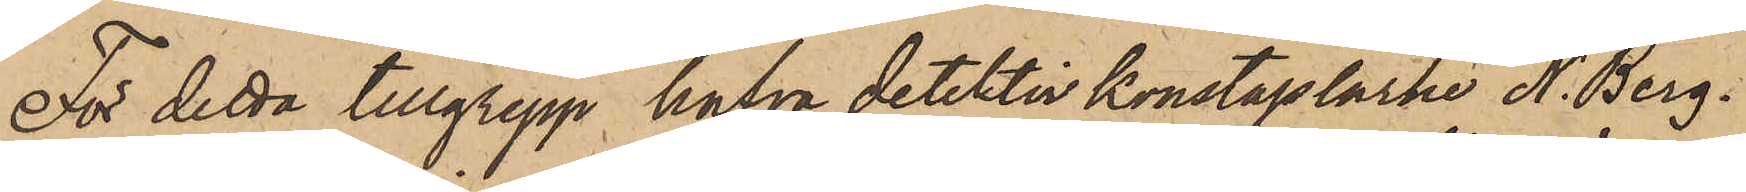För detta tillgrepp hafva detektivkonstaplarne A. Berg¬
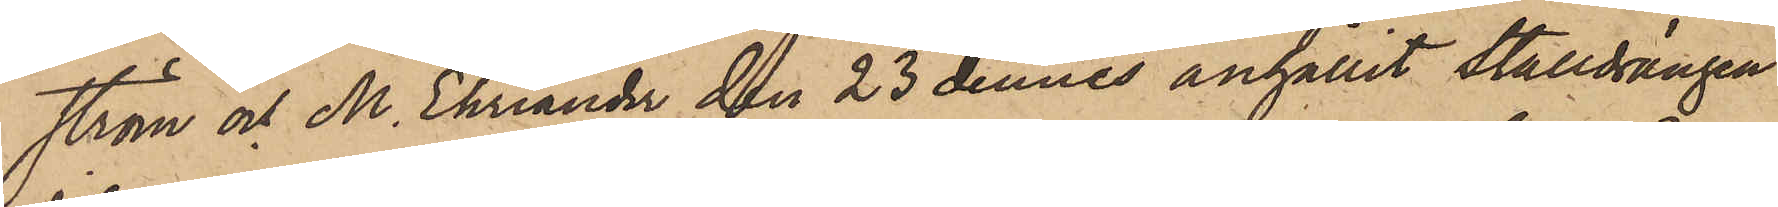ström och M. Ehriander den 23 dennes anhållit Stalldrängen
